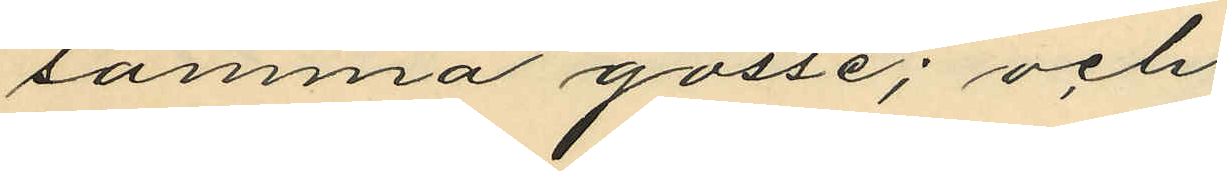samma gosse; och
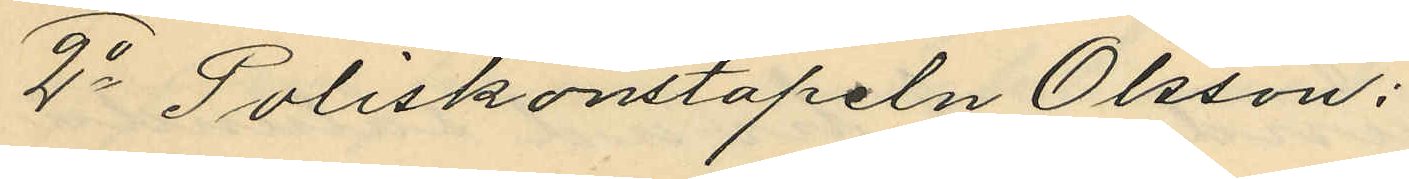2o Poliskonstapeln Olsson:
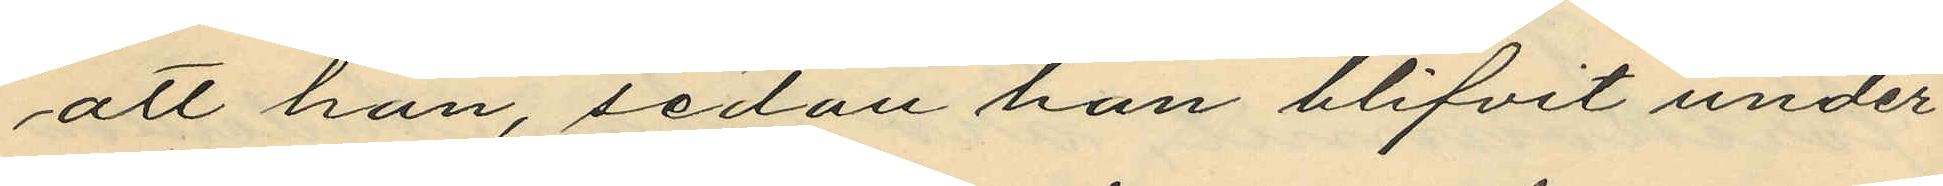att han, sedan han blifvit under¬
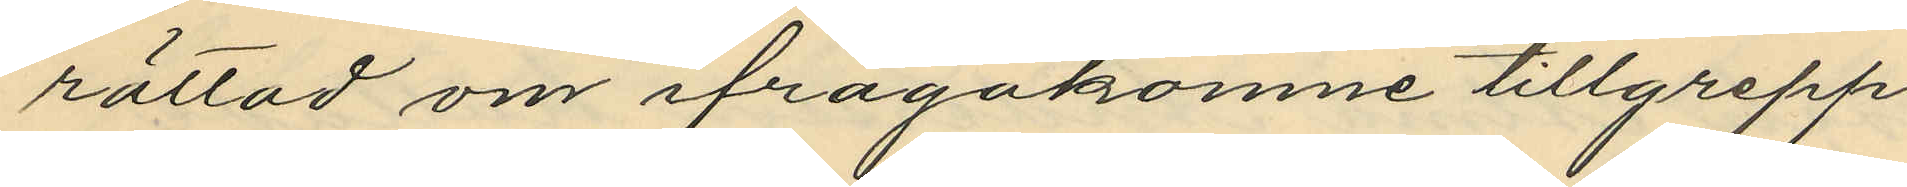rättad om ifrågakomne tillgrepp
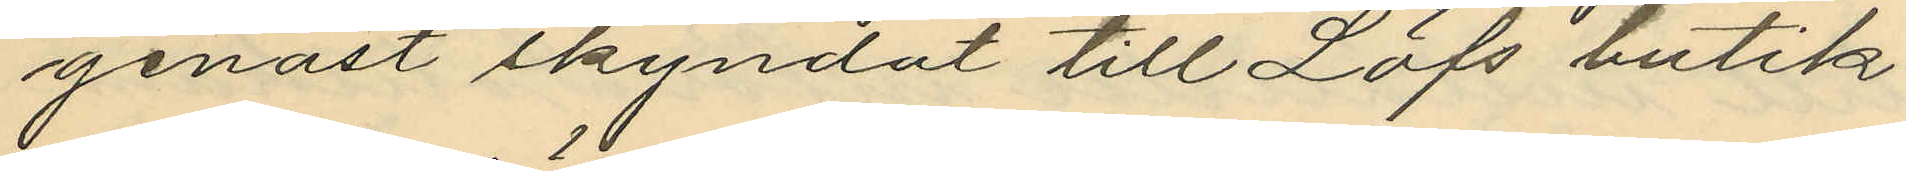genast skyndat till Löfs butik
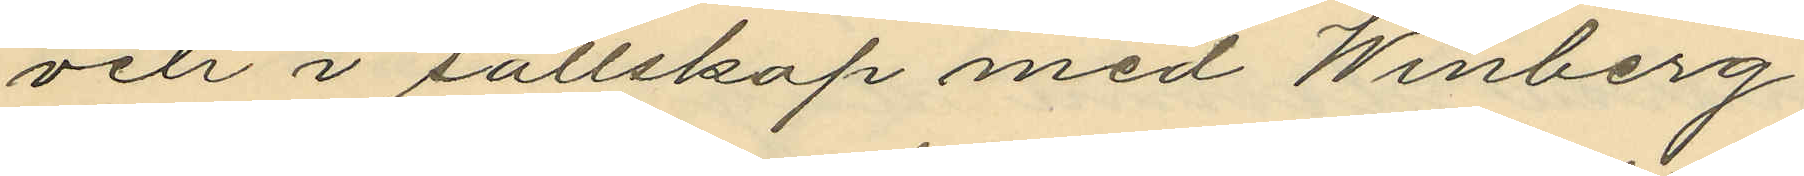och i sällskap med Winberg
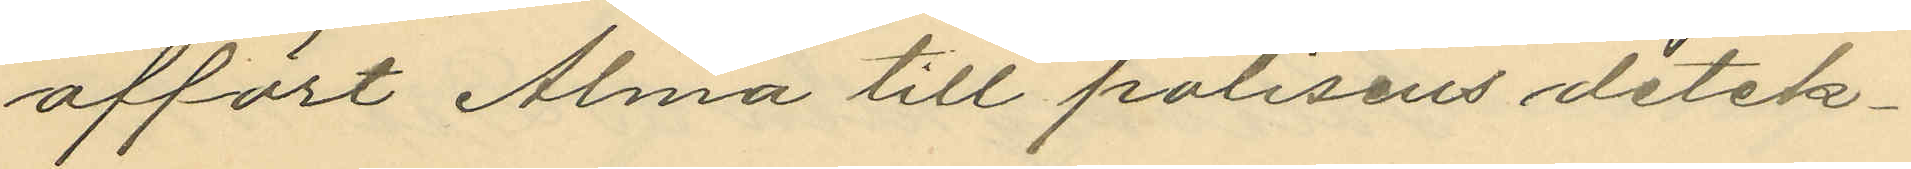affört Alma till polisens detek¬
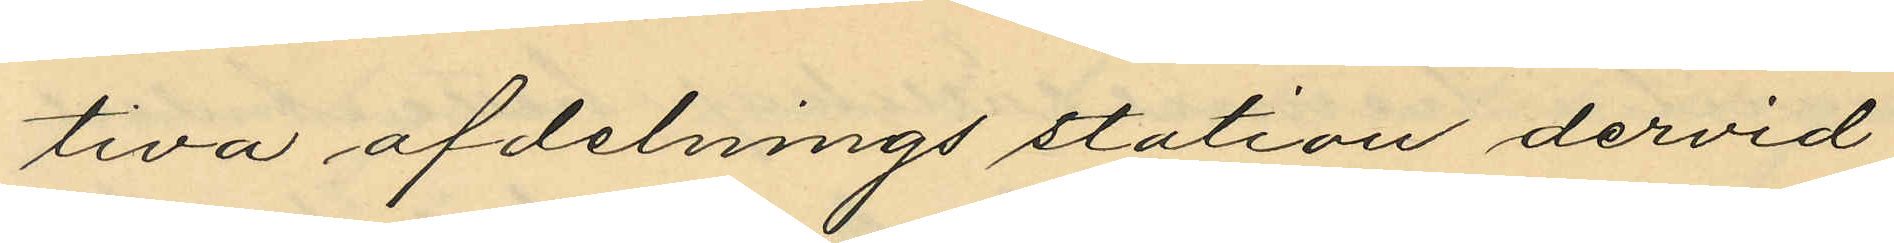tiva afdelnings station dervid
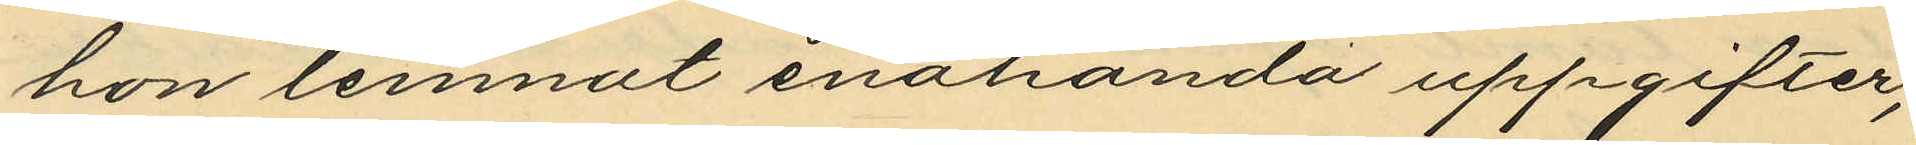hon lemnat enahanda uppgifter,
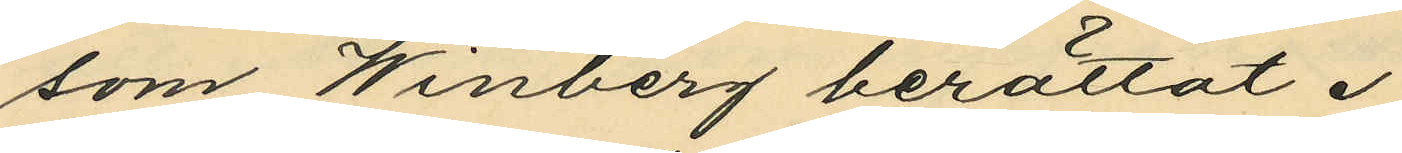som Winberg berättat.
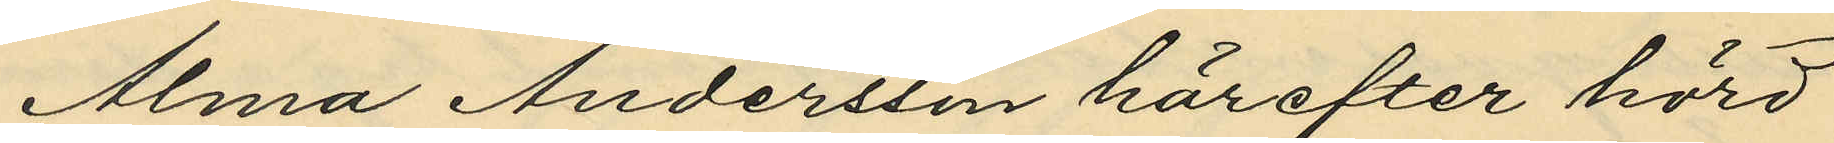Alma Andersson härefter hörd
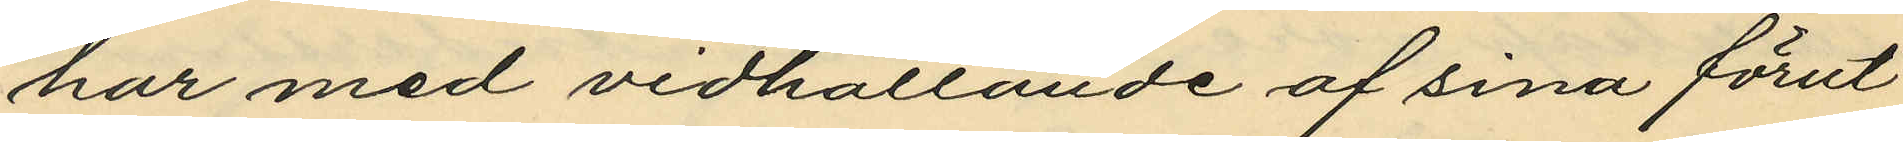har med vidhållande af sina förut
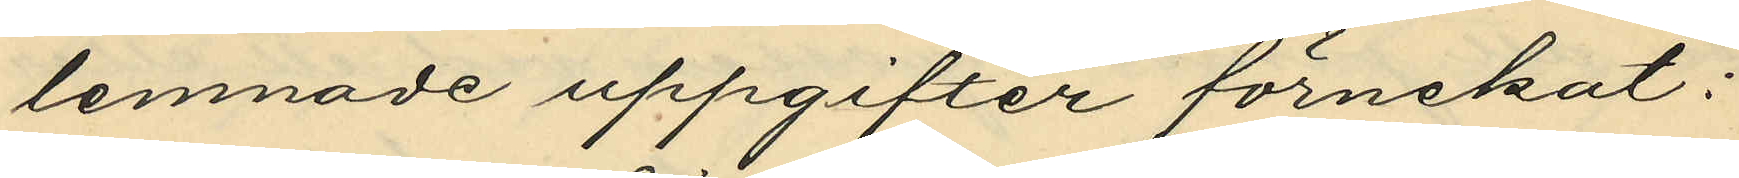lemnade uppgifter förnekat:
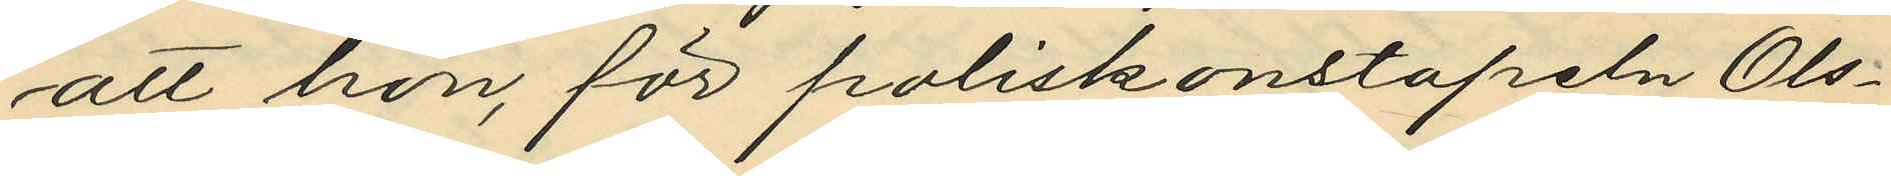att hon, för poliskonstapeln Ols¬
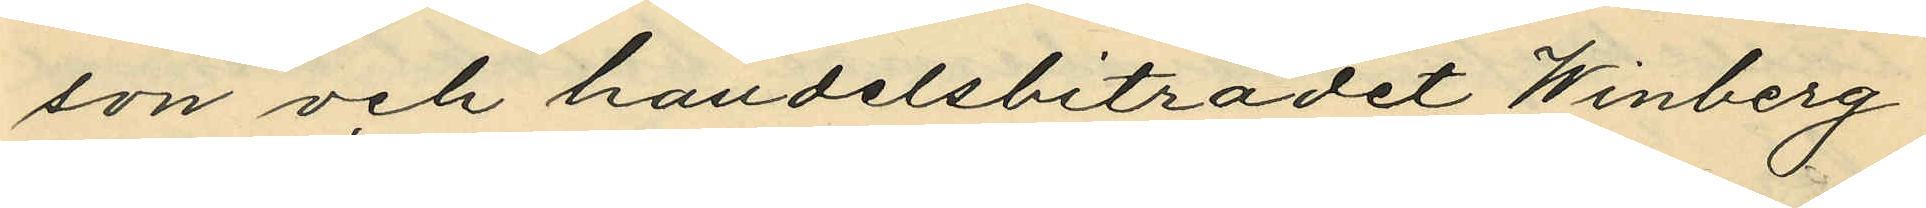son och handelsbiträdet Winberg
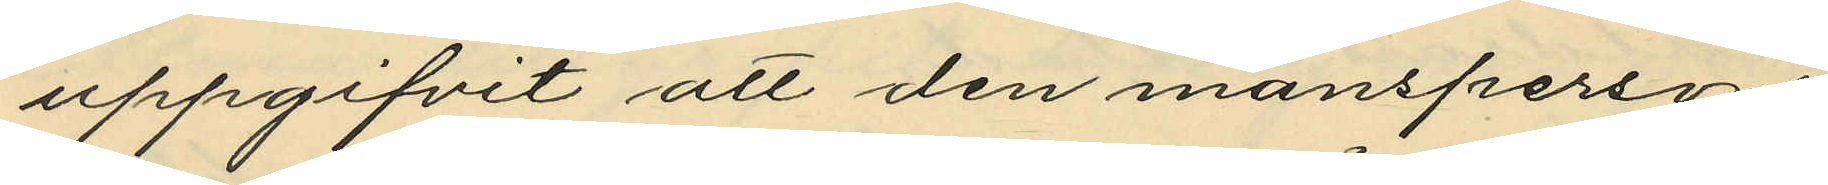uppgifvit att den mansperson
